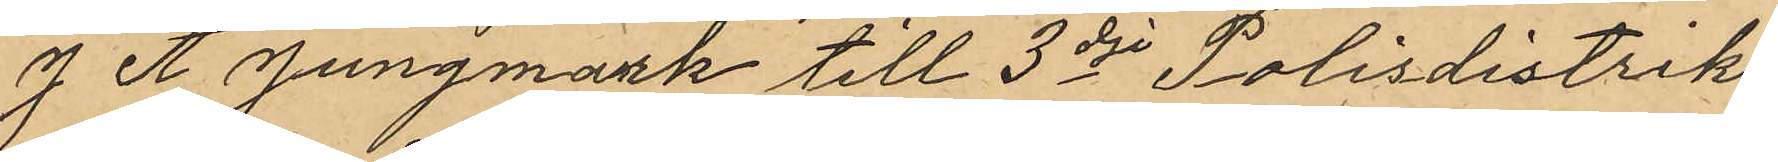J. A. Jungmark till 3dje Polisdistrik¬
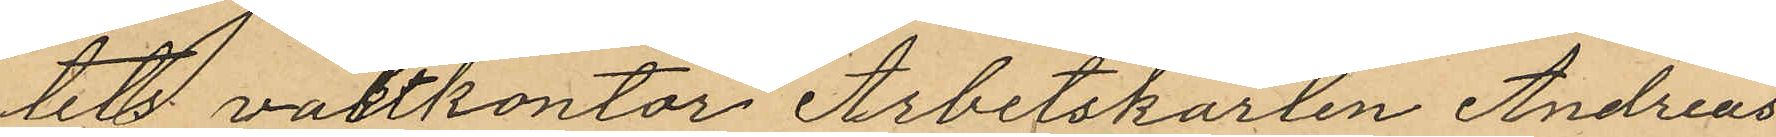tets vaktkontor Arbetskarlen Andreas
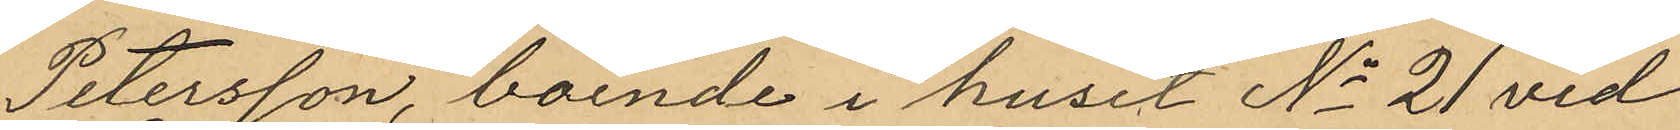Petersson, boende i huset No 21 vid
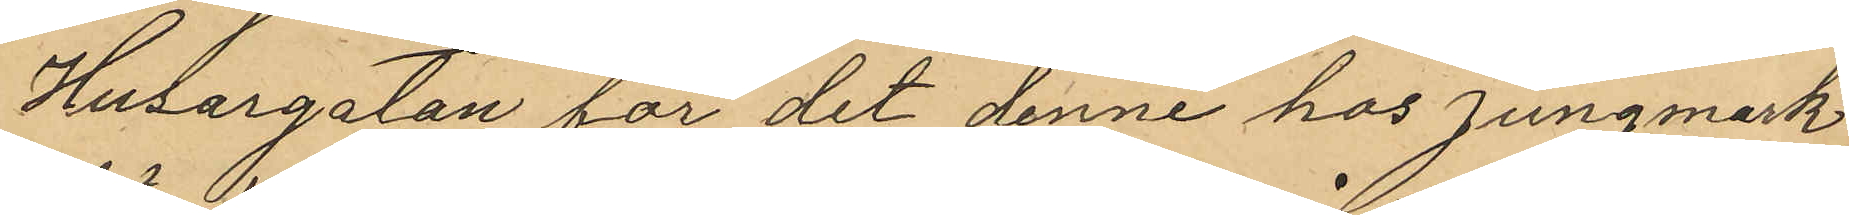Husargatan för det denne hos Jungmark
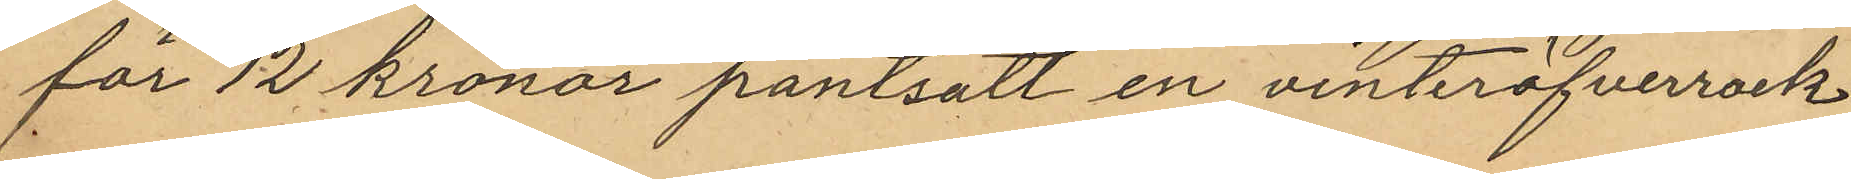för 12 kronor pantsatt en vinteröfverrock
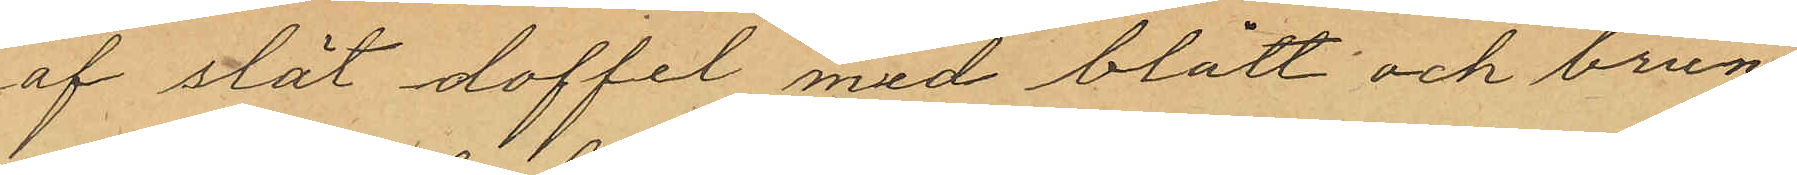af slät doffel med blått och brun¬
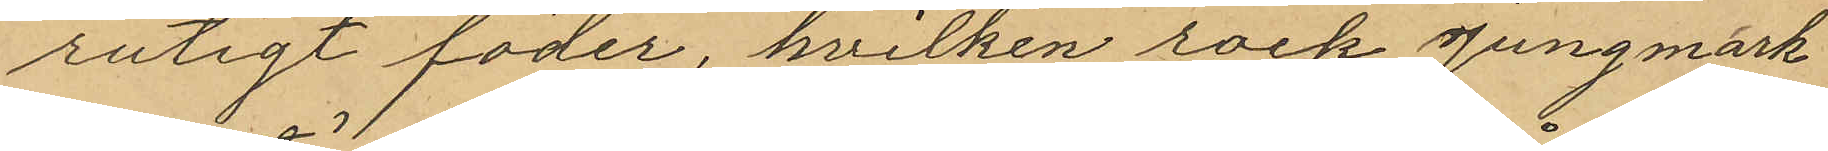rutigt foder, hvilken rock Jungmark
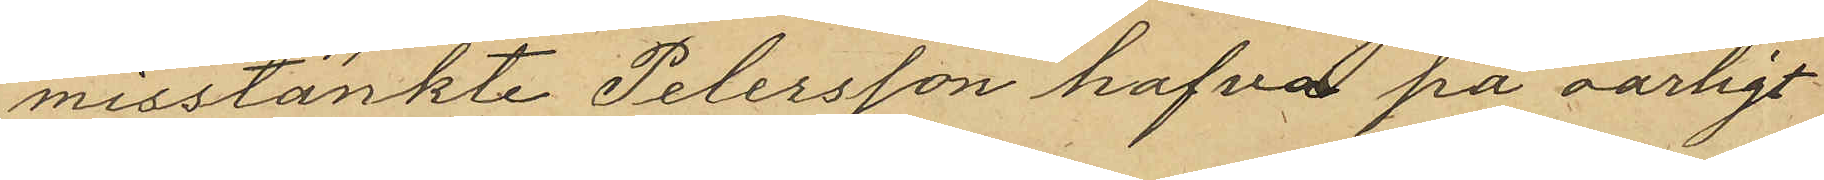misstänkte Petersson hafva på oärligt
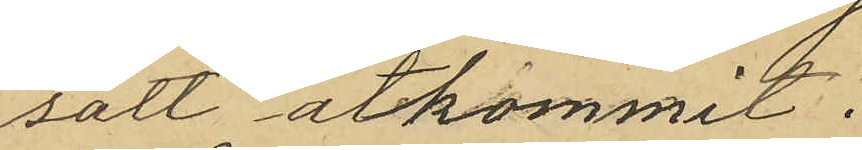sätt åtkommit.
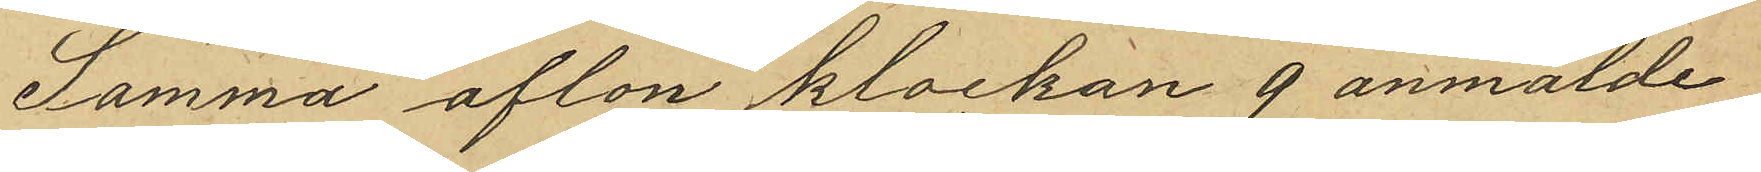Samma afton klockan 9 anmälde
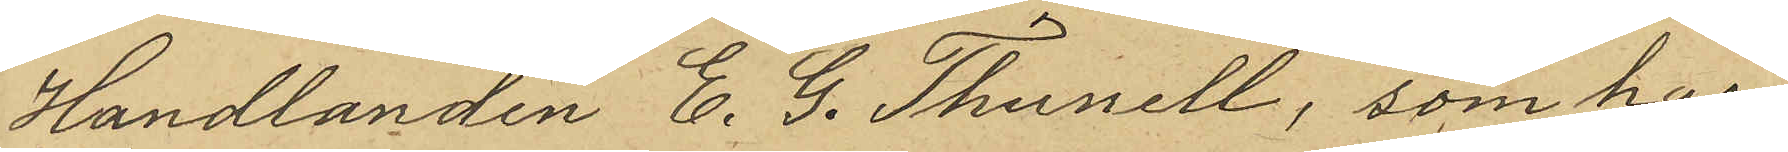Handlanden E. G. Thunell, som har
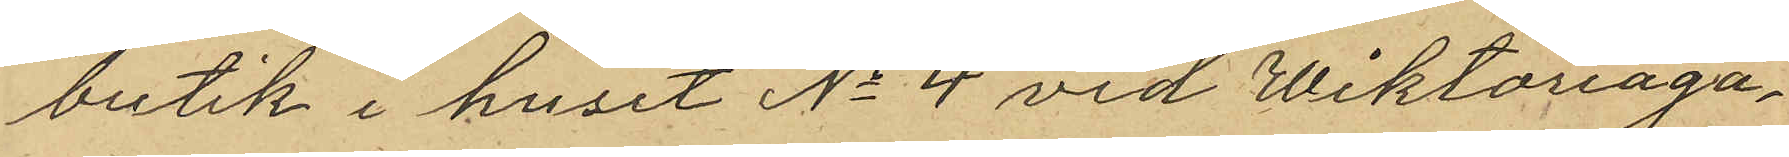butik i huset No 4 vid Wiktoriaga¬
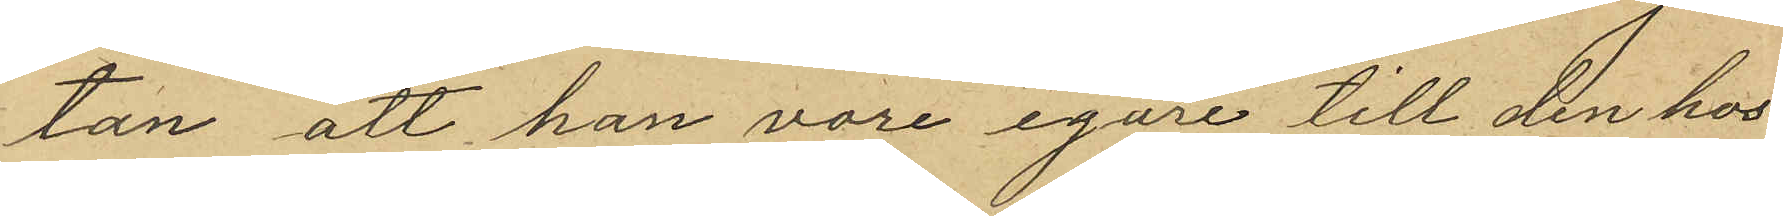tan att han vore egare till den hos
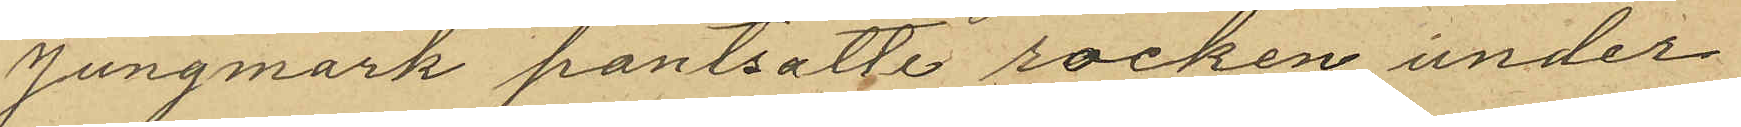Jungmark pantsatte rocken under
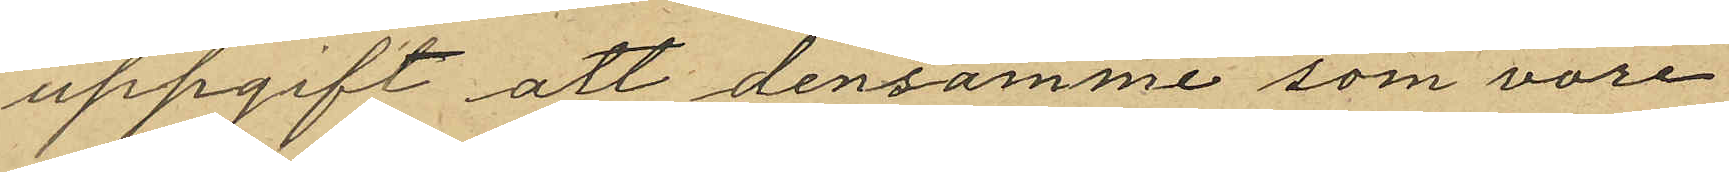uppgift att densamme som vore
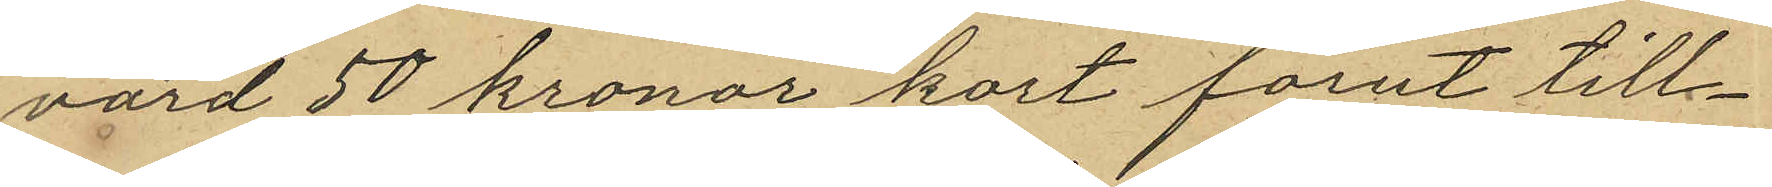värd 50 kronor kort förut till¬
